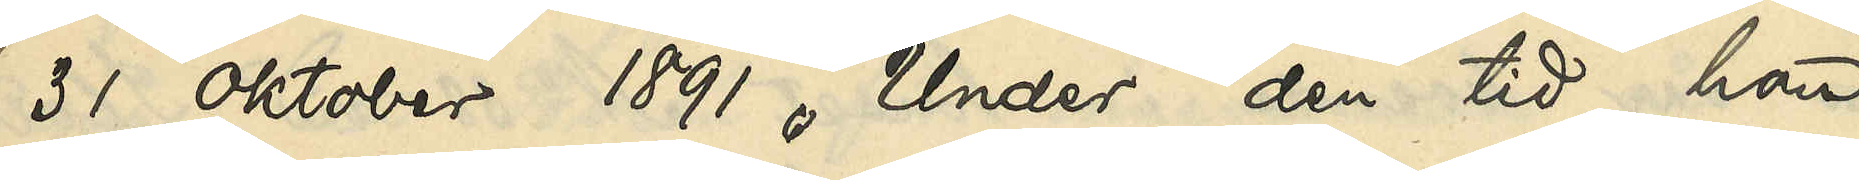31 Oktober 1891. Under den tid han
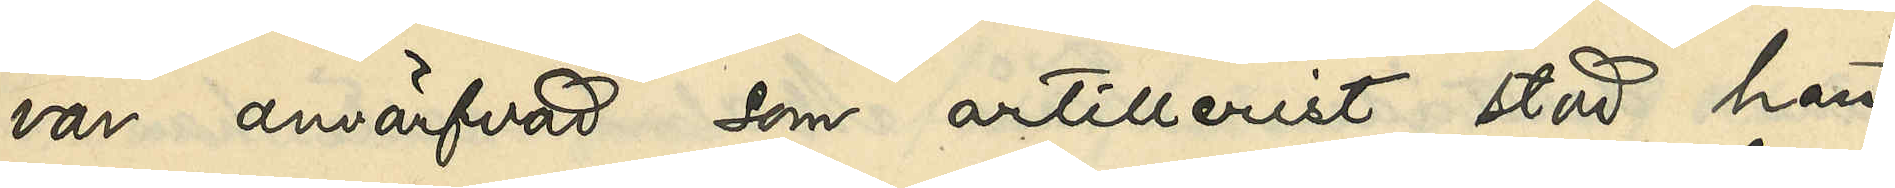var anvärfvad som artillerist stod han
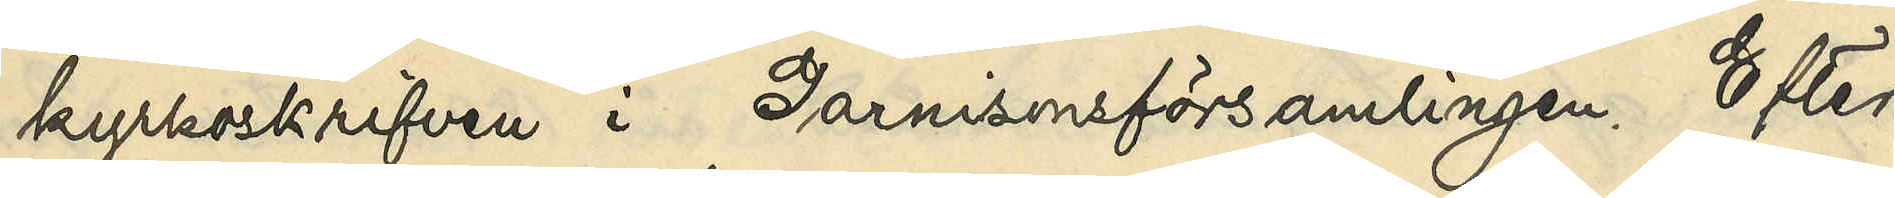kyrkoskrifven i Garnisonsförsamlingen. Efter
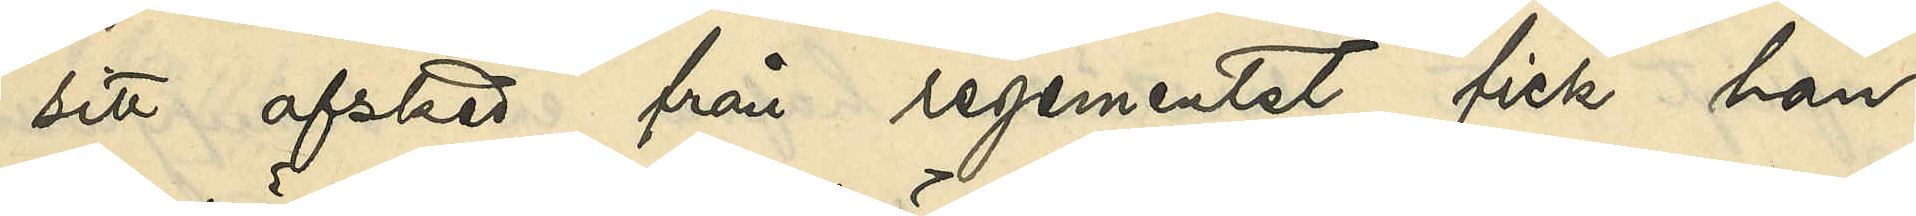sitt afsked från regementet fick han
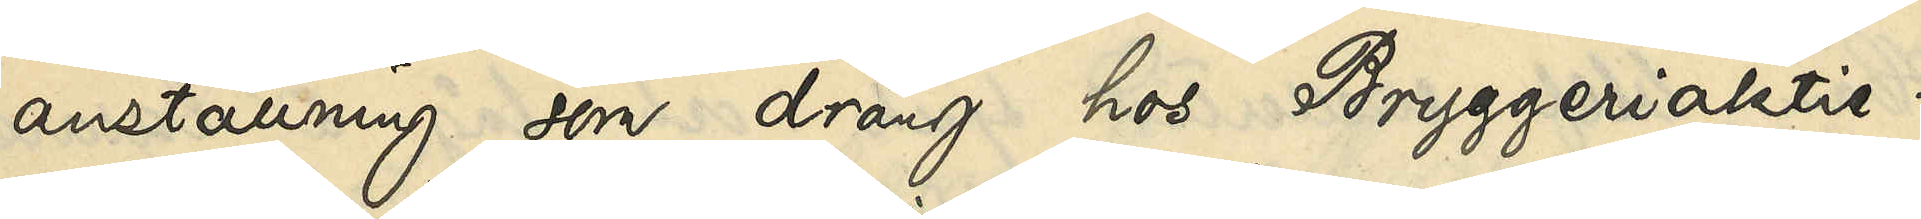anställning som dräng hos Bryggeriaktie¬
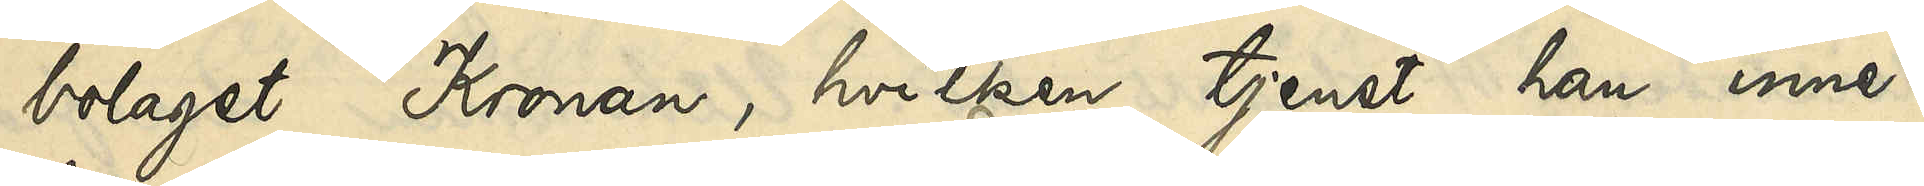bolaget Kronan, hvilken tjenst han inne¬
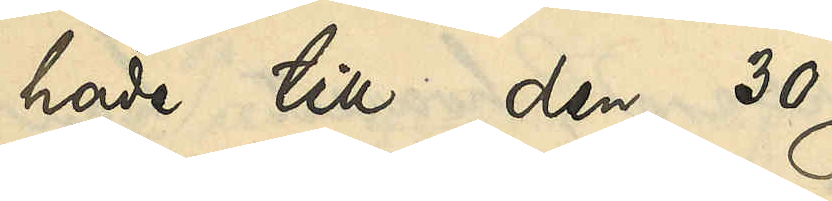hade till den 30 
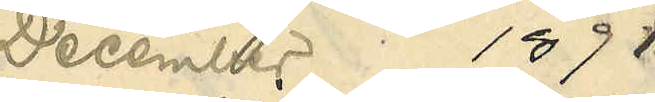December 1891, 
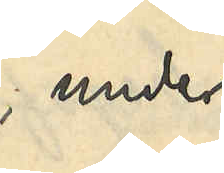under
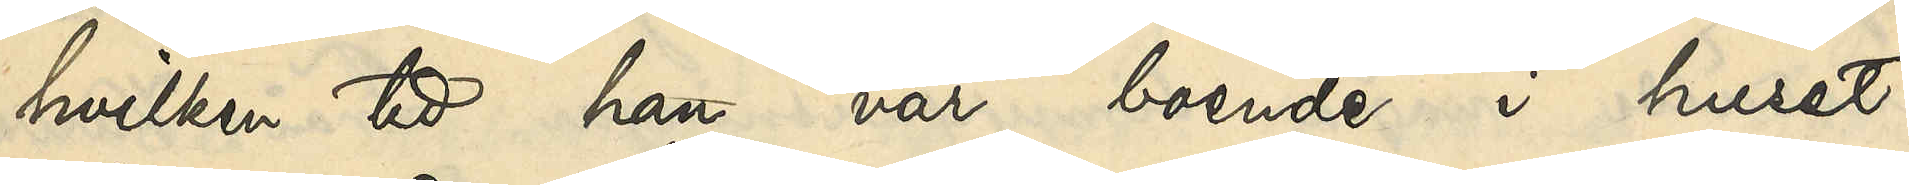hvilken tid han var boende i huset
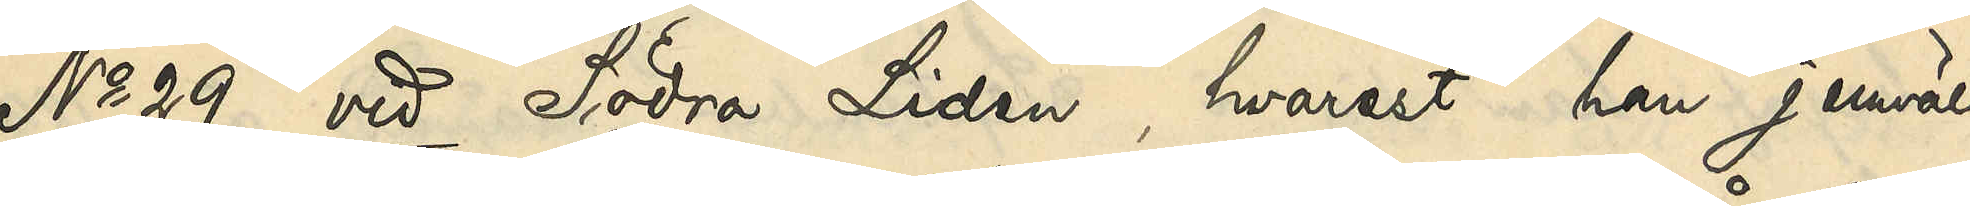No 29 vid Södra Liden, hvarest han jemväl
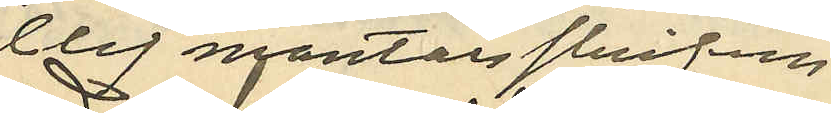blef mantalsskrifven.
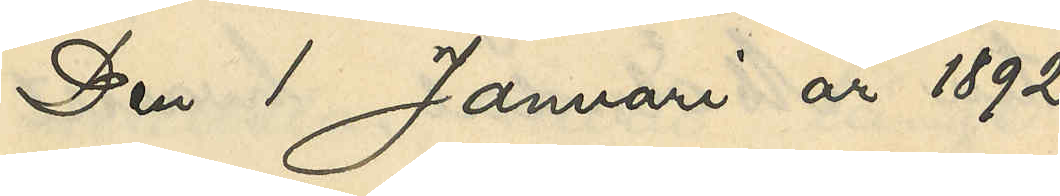Den 1 Januari år 1892
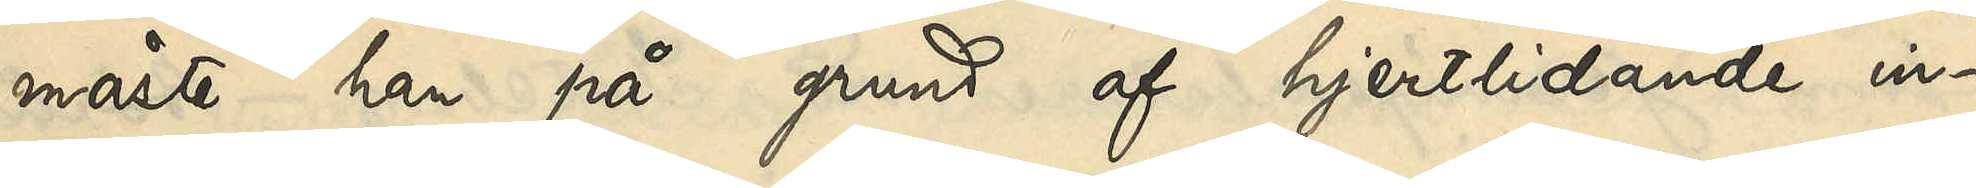måste han på grund af hjertlidande in¬
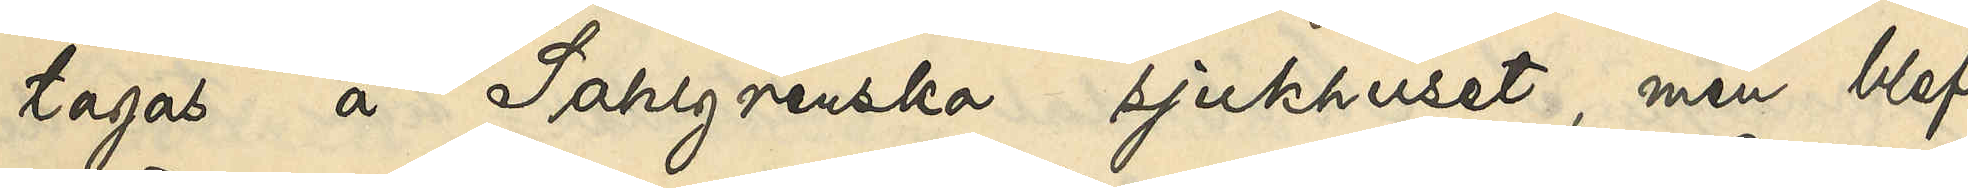tagas å Sahlgrenska sjukhuset, men blef
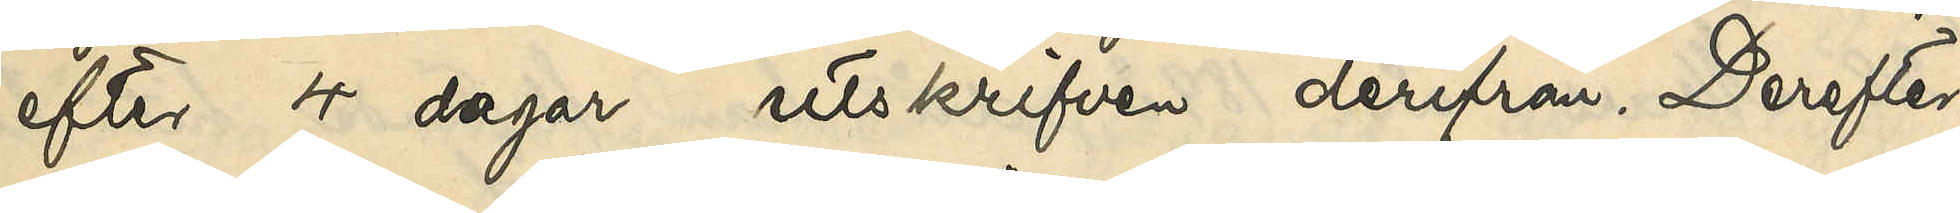efter 4 dagar utskrifven derifrån. Derefter
